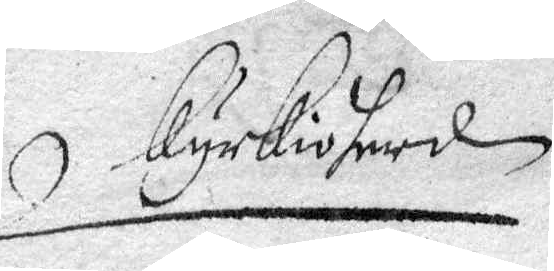kyrkioherden
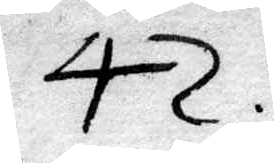42.
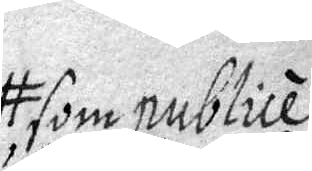som publicé
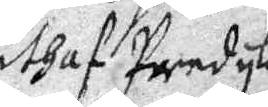uthaf Predykesto¬
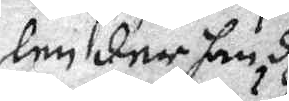len der han dhem
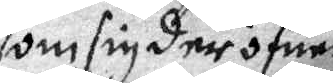som sig der öfuer
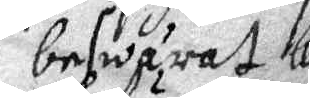beswärat kallat
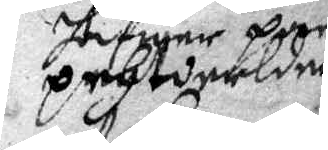hafuer pygeki¬
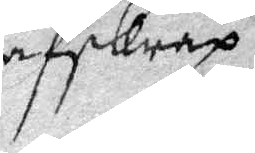pehtderldners afskrap och
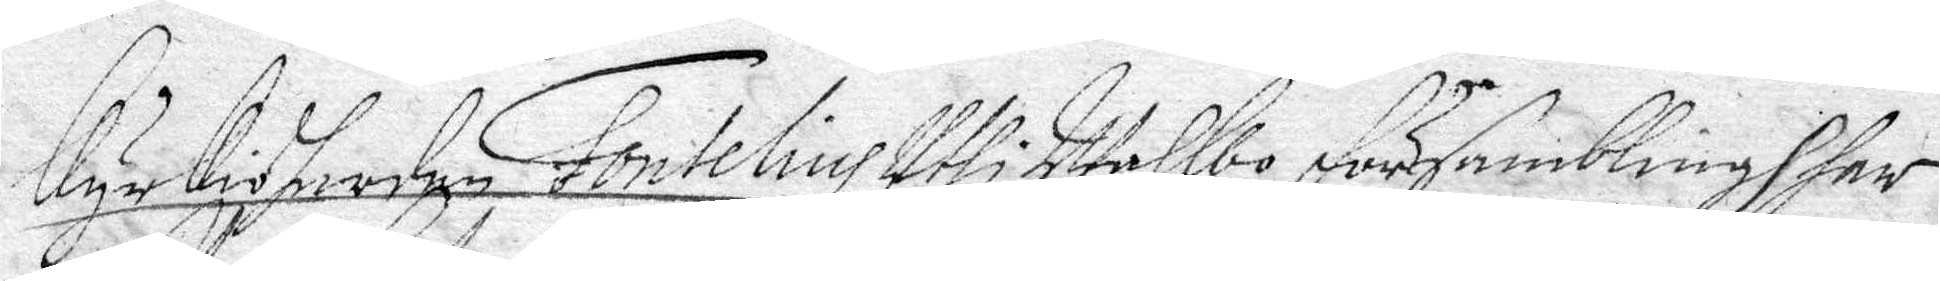Kyrkioherden Fontelius Uthi Walbo Församling har
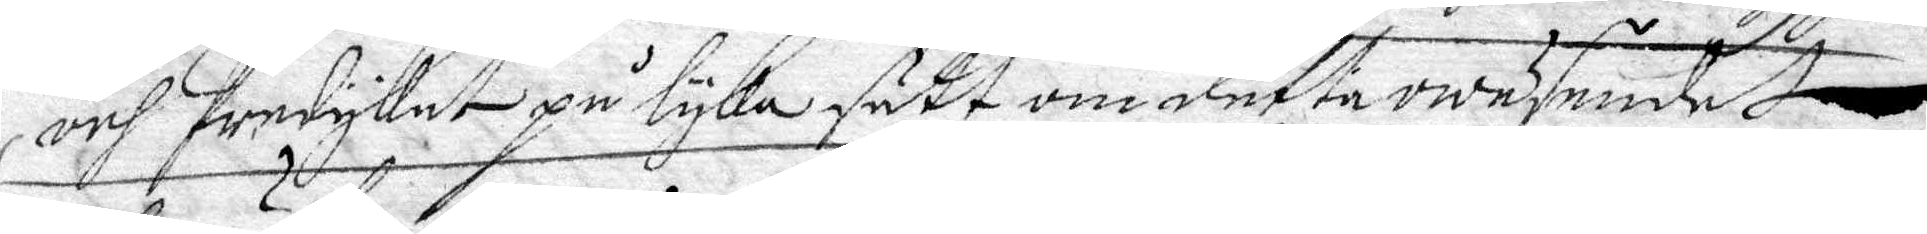och predykat på lyka sätt om detta wäsendet
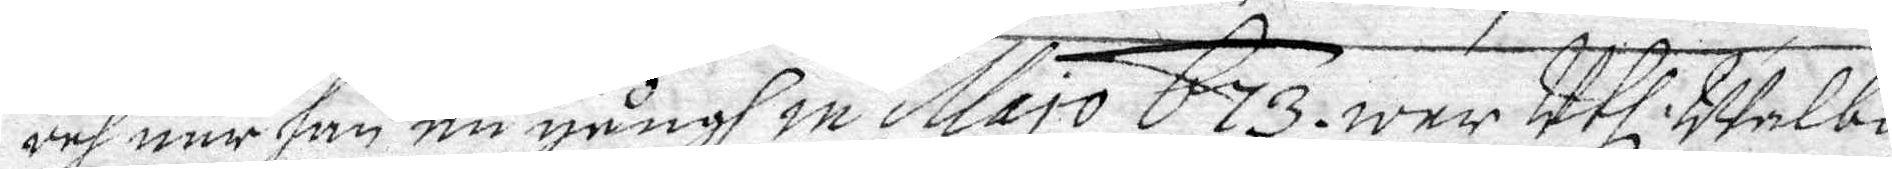och när han en gångh in Majo 673 war Uthi Walbo
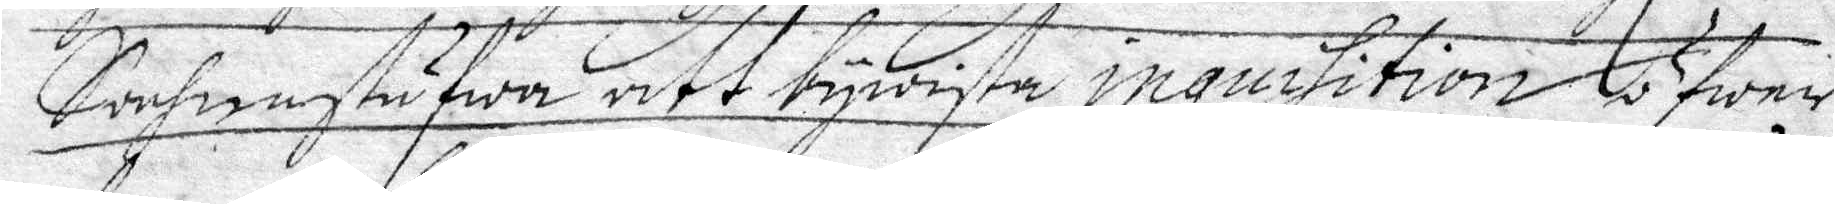Sochnestufwa att bewysta inquisition öfwer
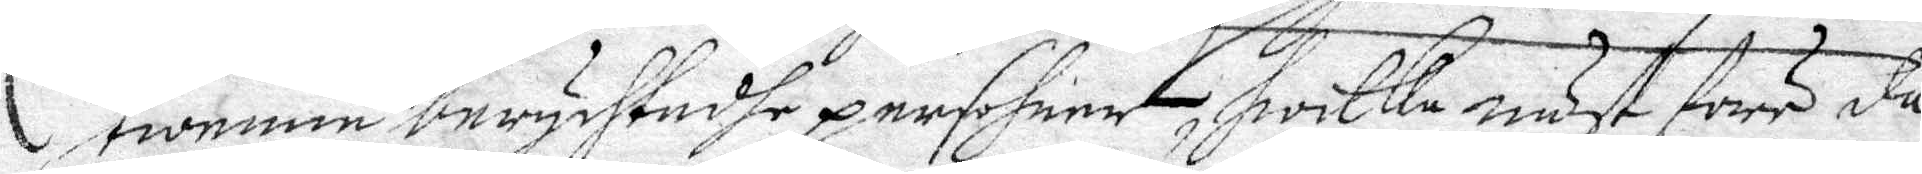twenne berychtadhe persohner, hwilka näst före da¬
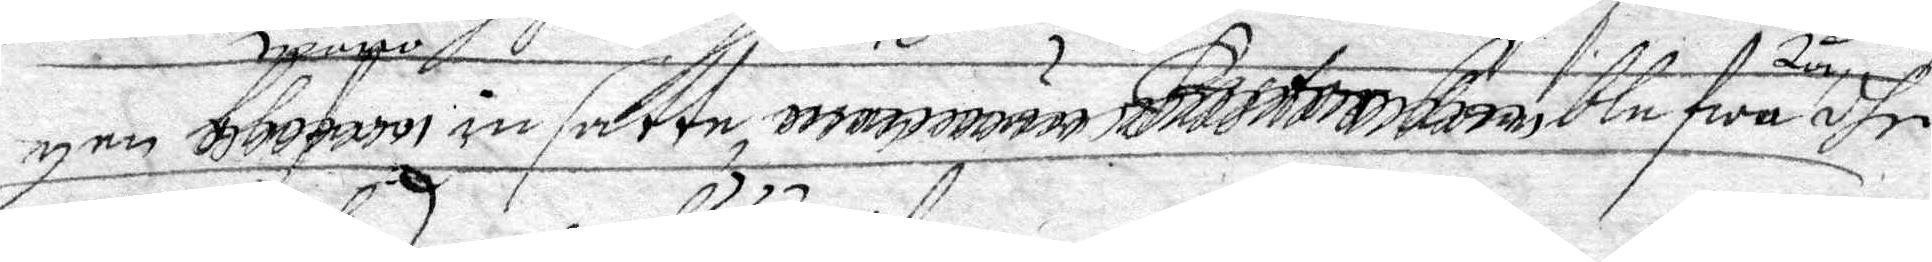gen woro ...... insatta ..... ..... blefwo tå dhe sam¬
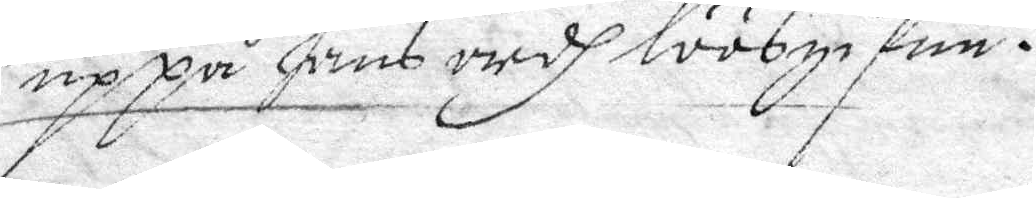me uppå hans ordh löösgifen.
